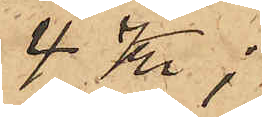4 Kr;
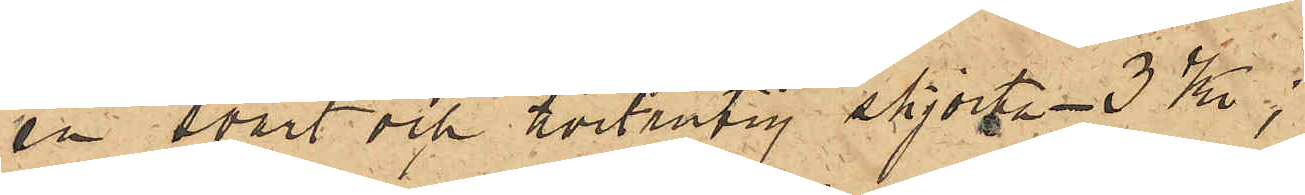en svart och hvitrutig skjorta 3 Kr;
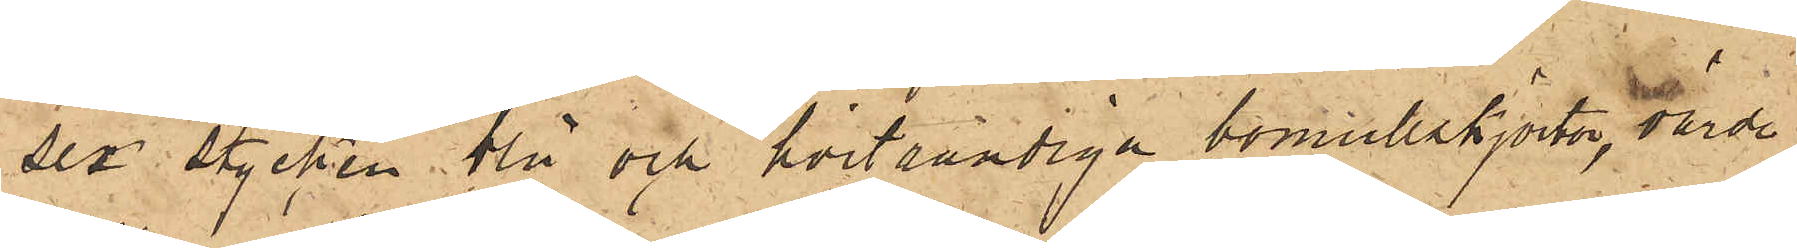sex stycken blå och hvitrandiga bomullskjortor, värde
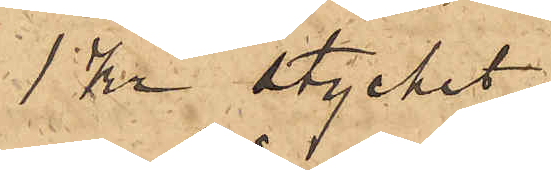1 Kr stycket;
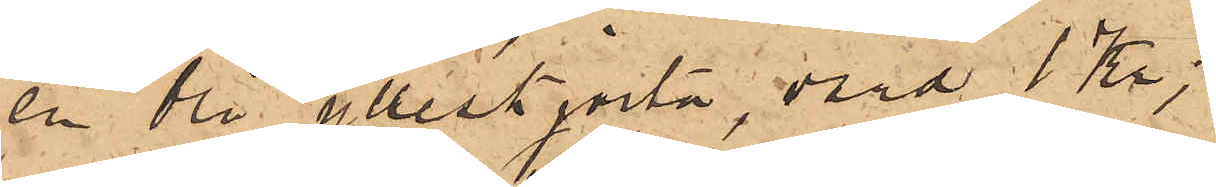en blå ylleskjorta, värd 1 Kr;
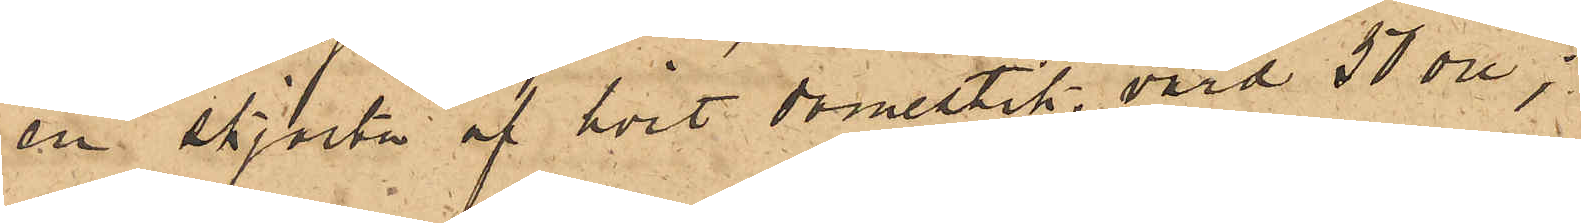en skjorta af hvit domestik, värd 50 öre;
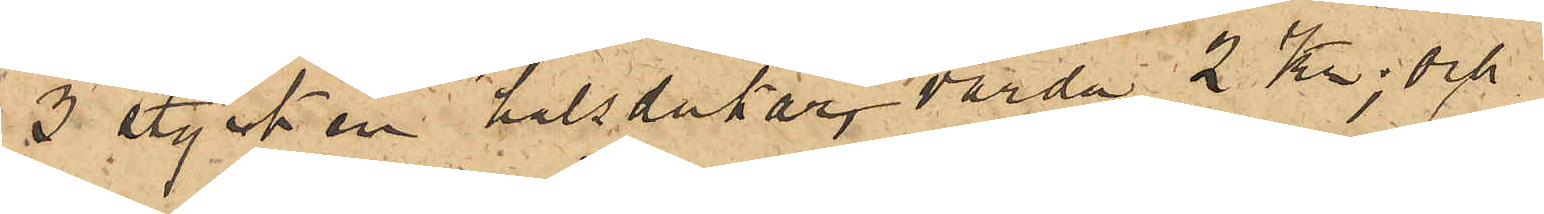3 stycken halsdukar, värda 2 Kr; och
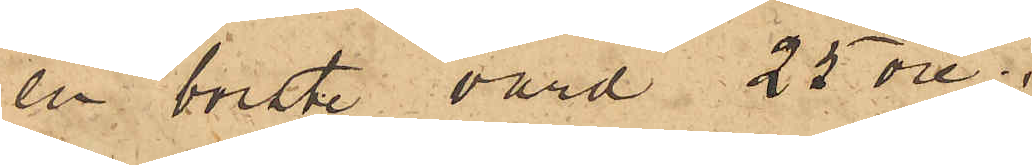en borste värd 25 öre.
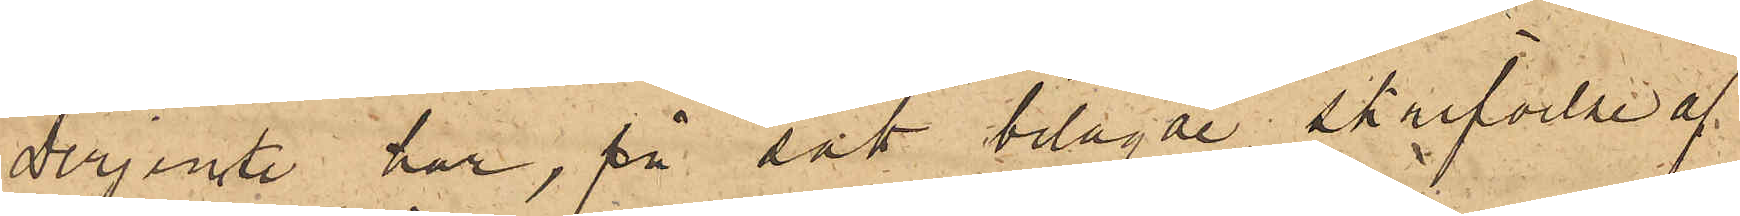Derjemte har, på sätt bilagde skrifvelse af
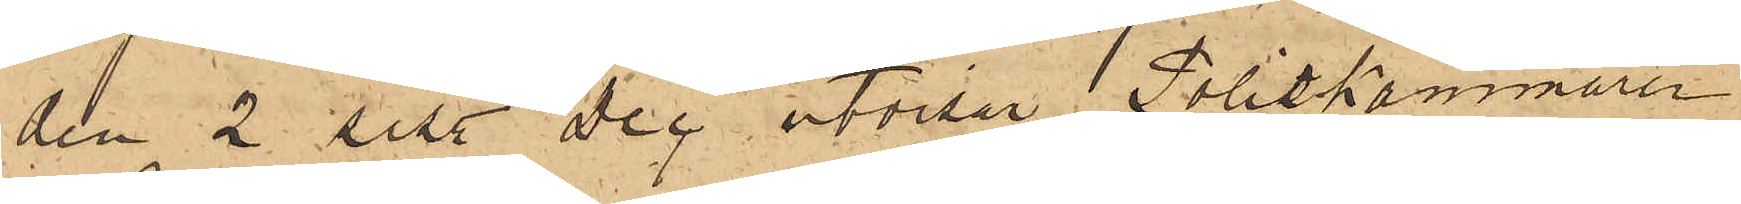den 2 sist. Dec utvisar,  Poliskammaren
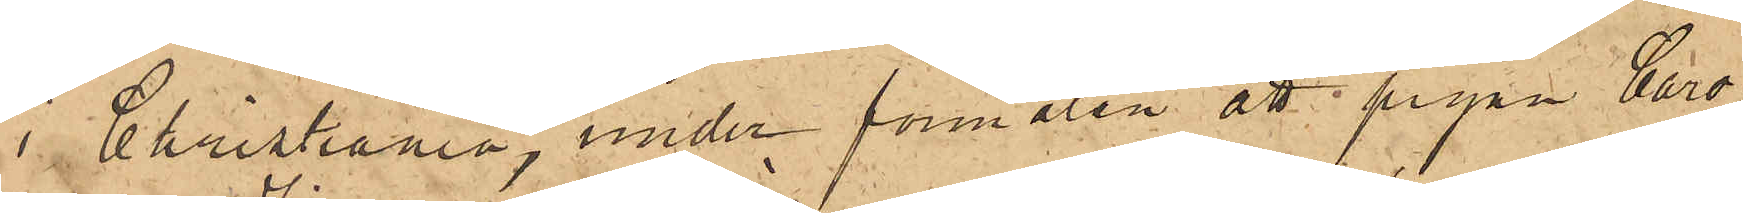i Christiania, under förmälan att pigan Caro¬
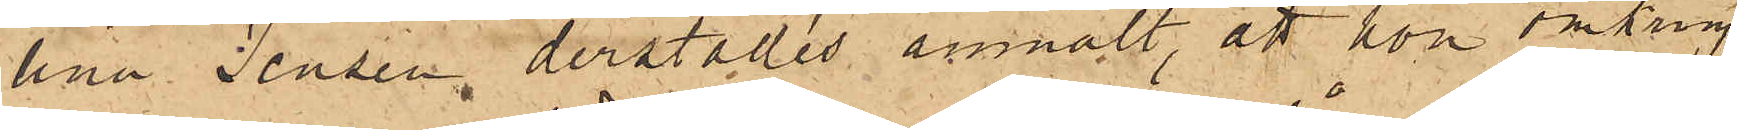lina Jensen derstädes anmält, att hon omkring
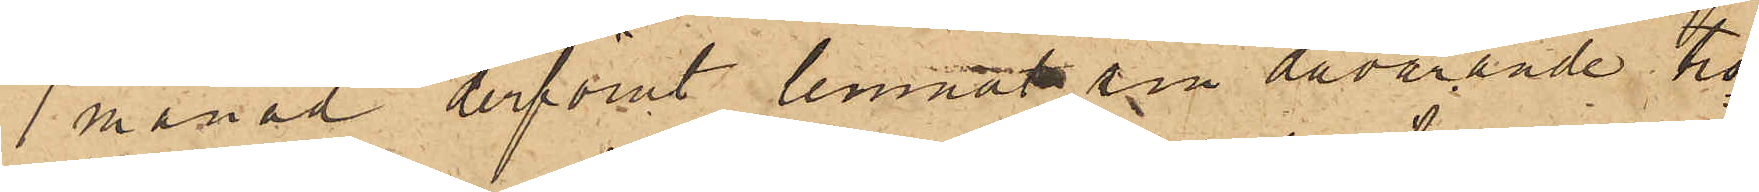1 månad derförut lemnat sin dåvarande tro¬
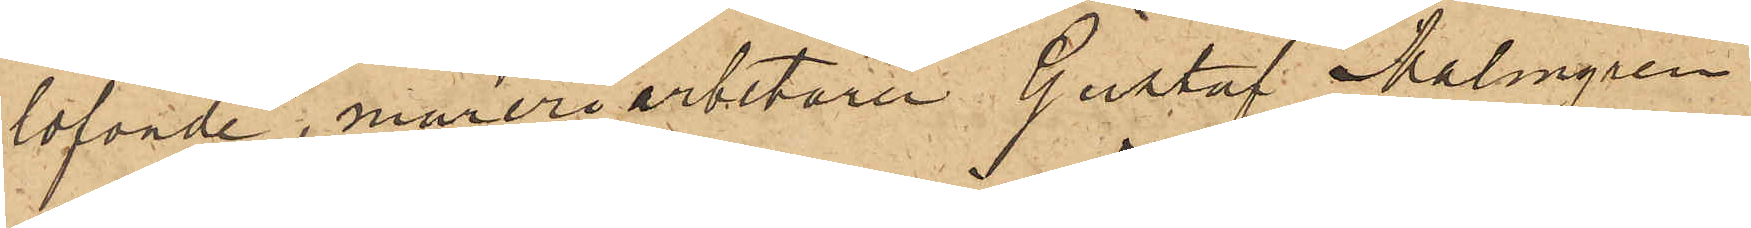lofvade, mureriarbetaren Gustaf Malmgren
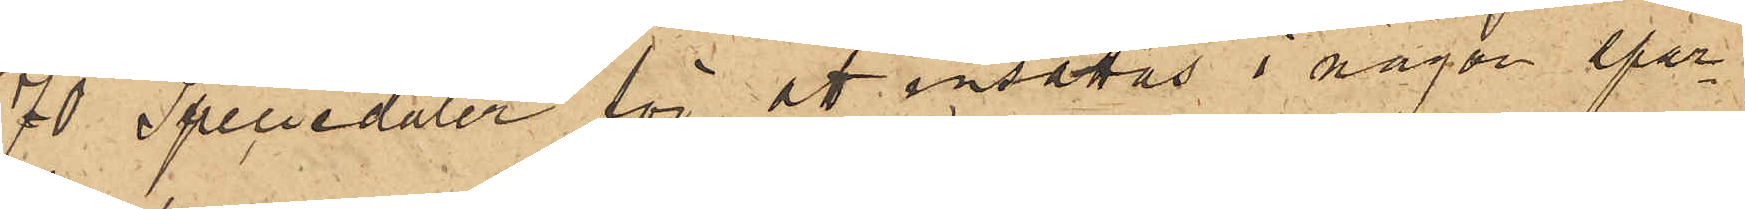70 Speciedaler för att insättas i någon spar¬
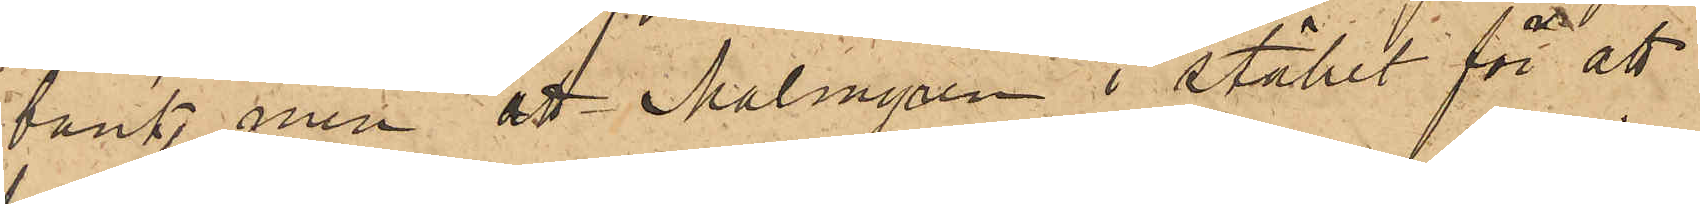bank, men att Malmgren i stället för att
